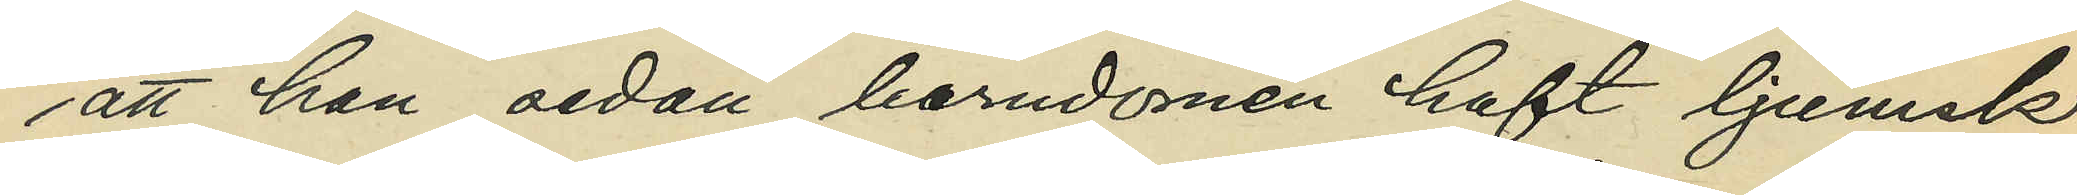att han sedan barndomen haft ljumsk¬
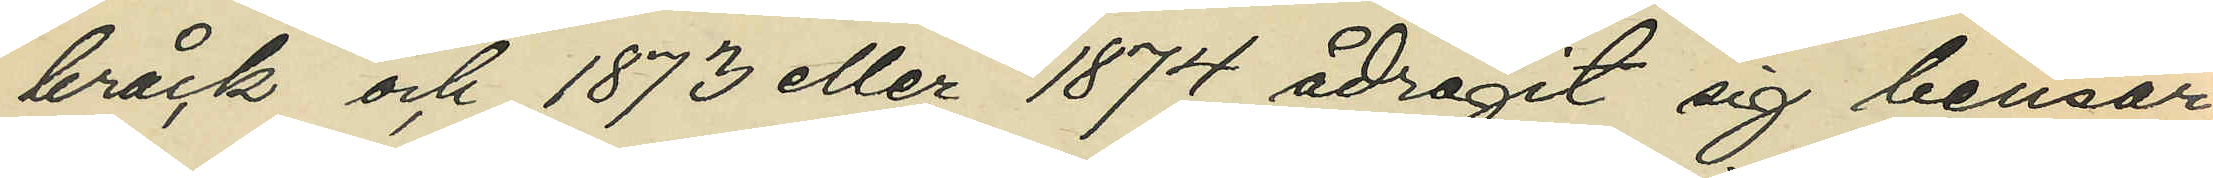bråck och 1873 eller 1874 ådragit sig bensår;
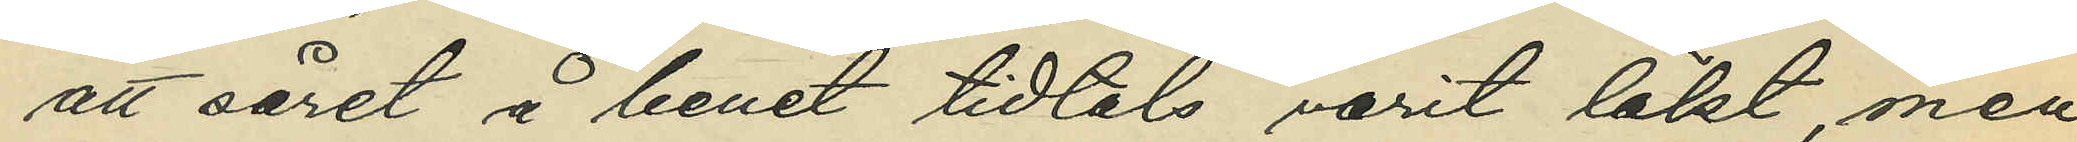att såret å benet tidtals varit läkt, men
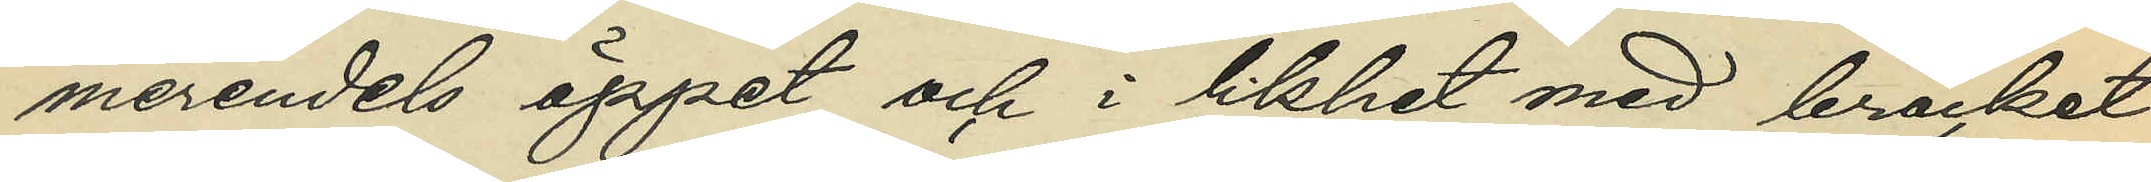merendels öppet och i likhet med bråcket
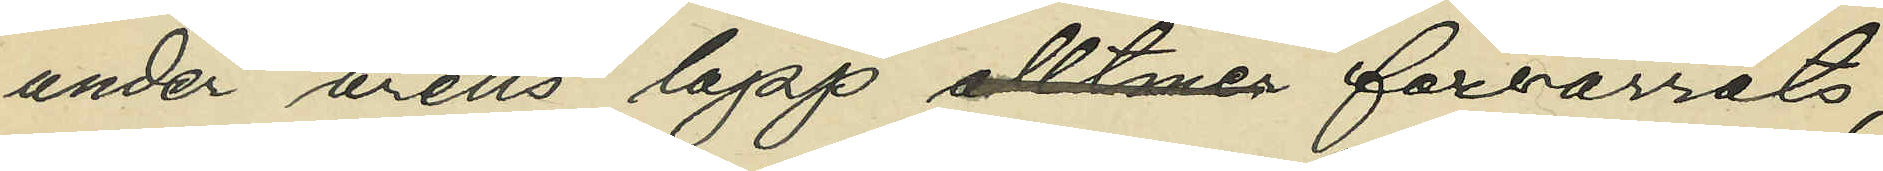under årens lopp alltmer förvärrats;
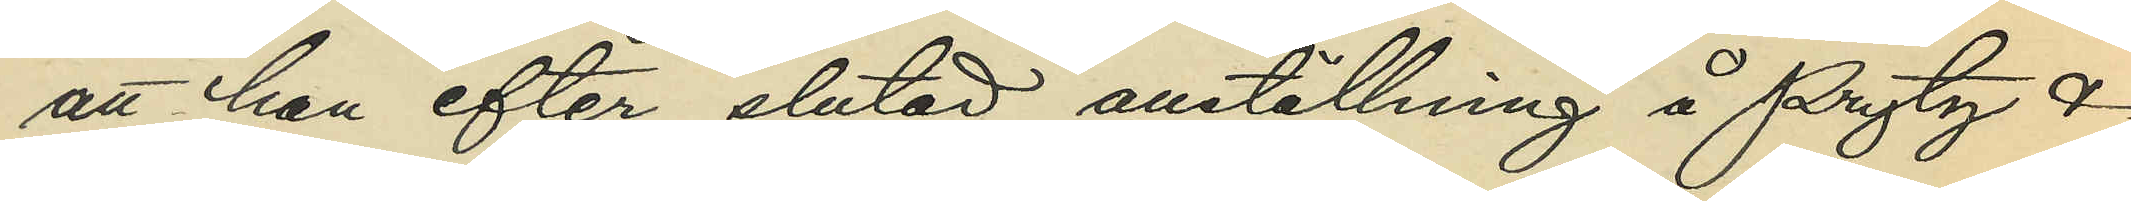att han efter slutad anställning å Prytz &
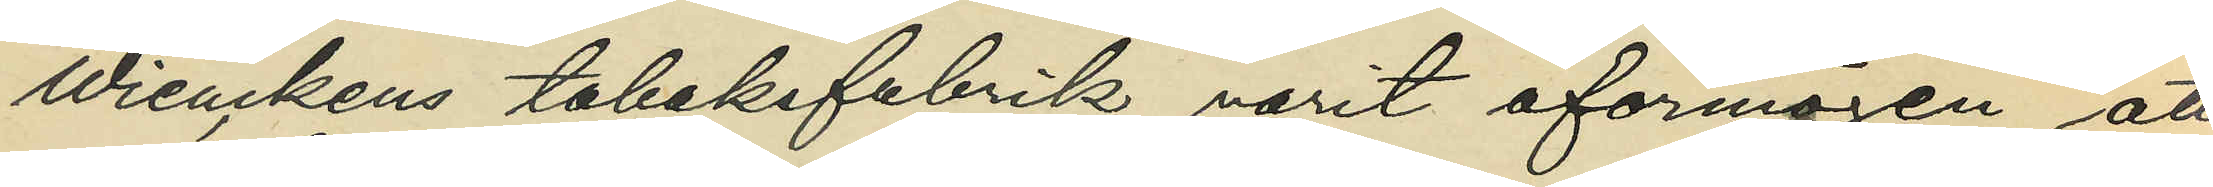Wienckens tobaksfabrik varit oförmögen att
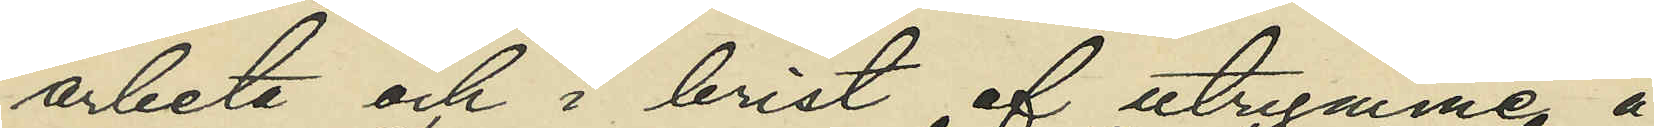arbeta och i brist af utrymme å
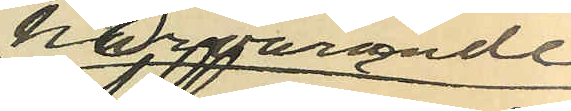härvarande
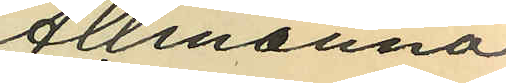Allmänna
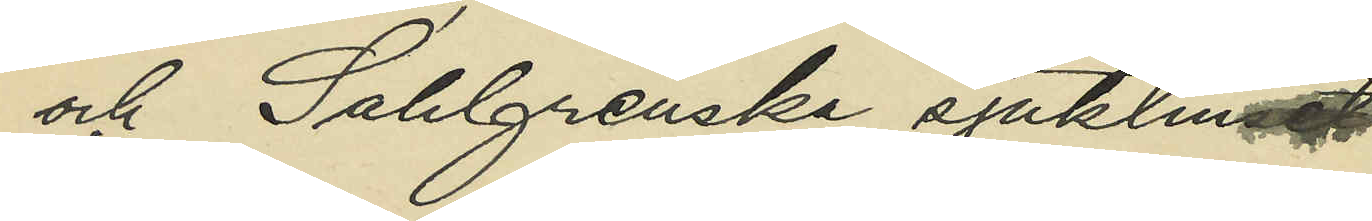och Sahlgrenska sjukhuset
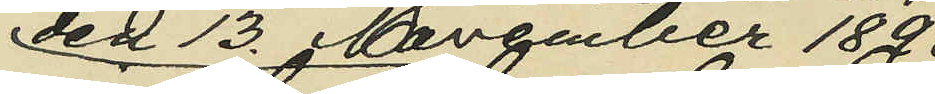den 13. November 1891
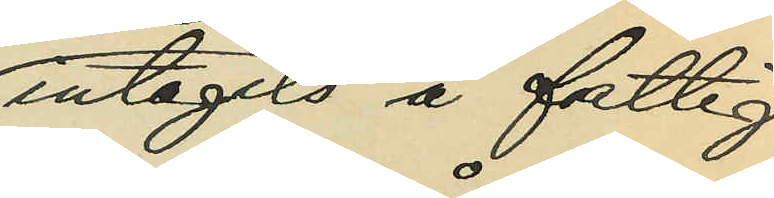intagits å fattig¬
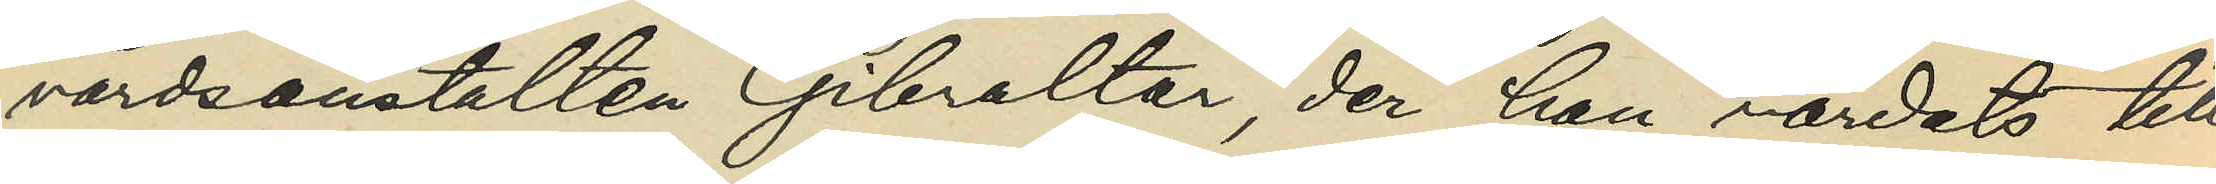vårdsanstalten Gibraltar, der han vårdats till
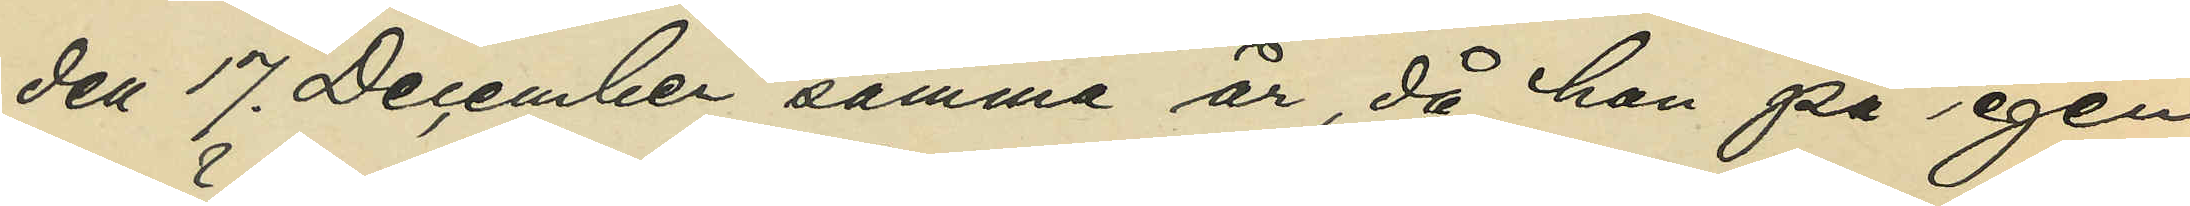den 17. December samma år, då han på egen
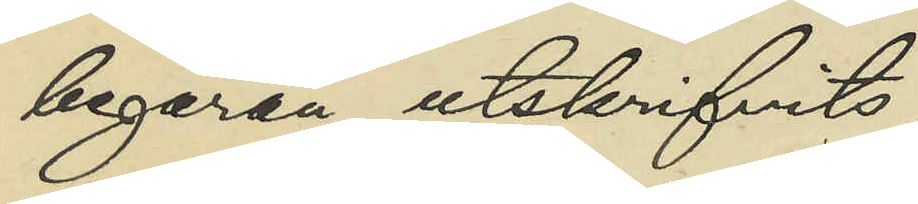begäran utskrifvits;
